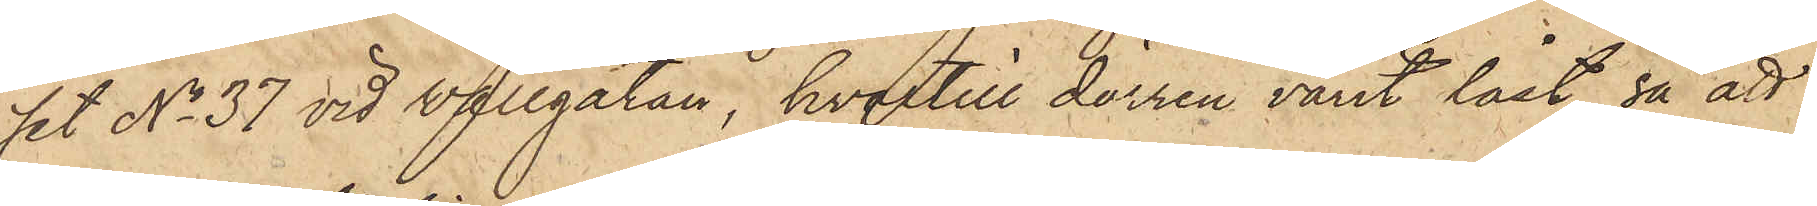set No 37 vid Wallgatan, hvartill dörren varit låst, så att
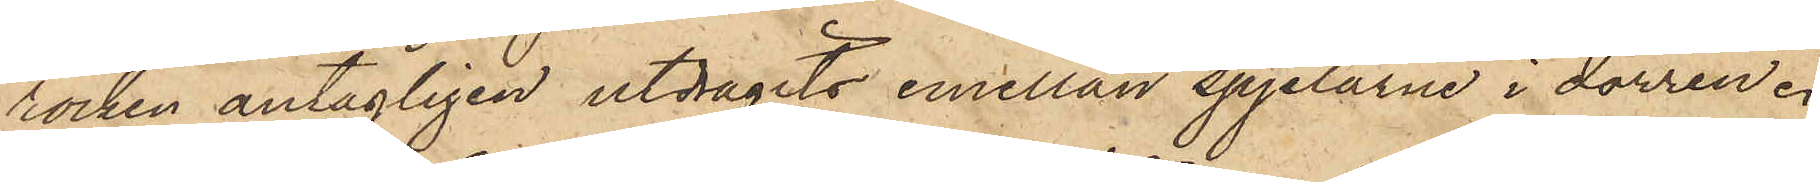rocken antagligen utdragits emellan spjelorne i dörren.
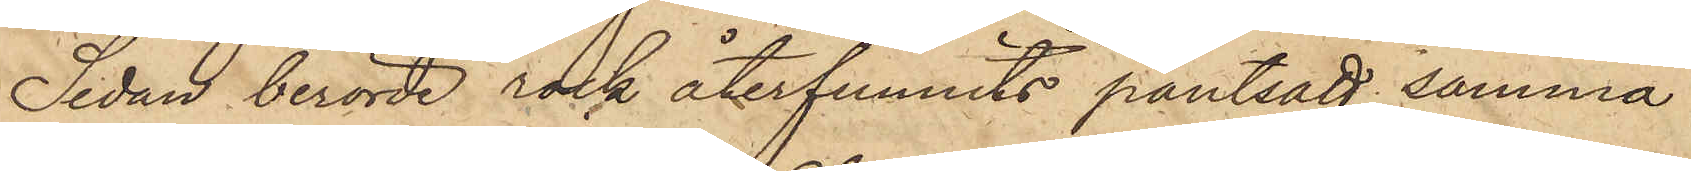Sedan berörde rock återfunnits pantsatt, samma
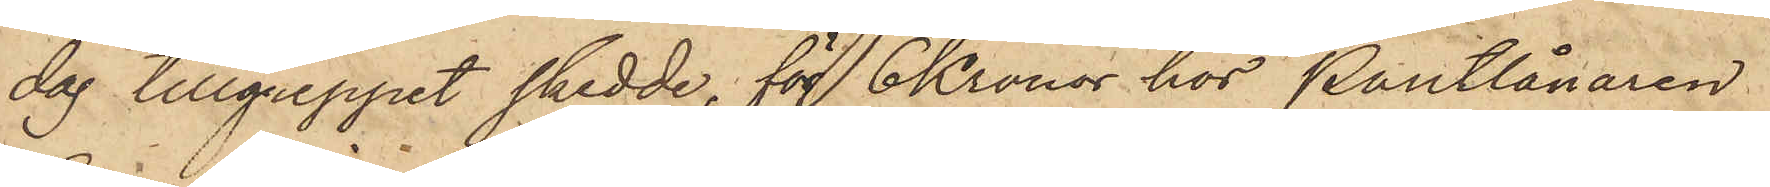dag tillgreppet skedde, för 6 Kronor hos Pantlånaren
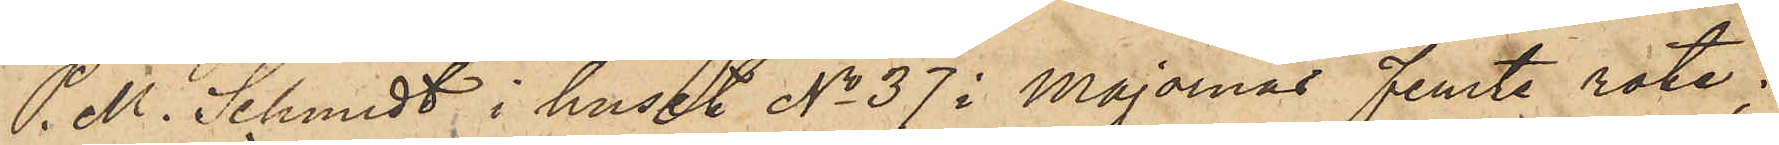P. M. Schmidt i huset No 37 i Majornas femte rote,
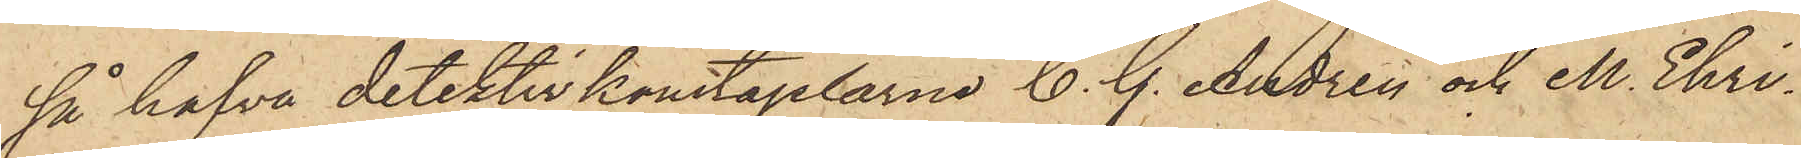så hafva detektivkonstaplarne C. G. Andrén och M. Ehri¬
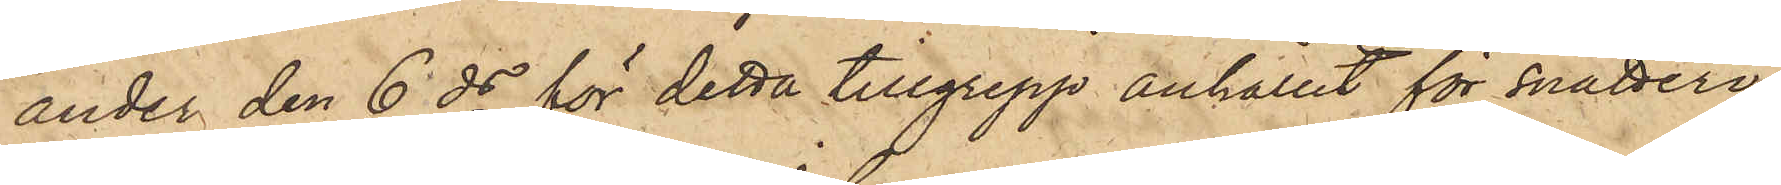ander den 6 ds för detta tillgrepp anhållit för snatteri
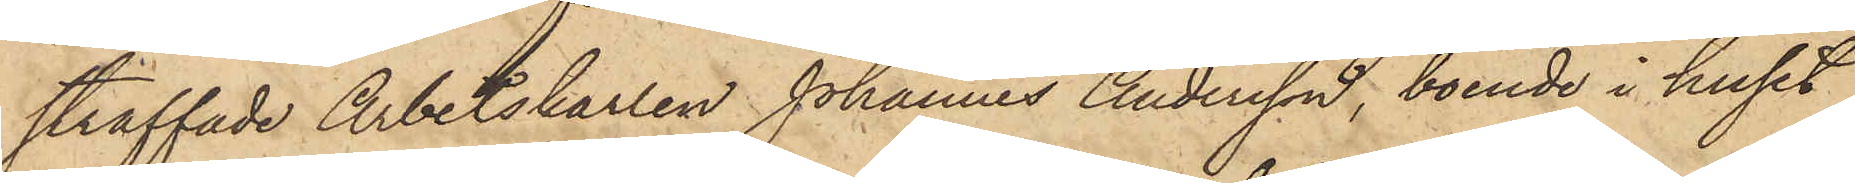straffade Arbetskarlen Johannes Andersson, boende i huset
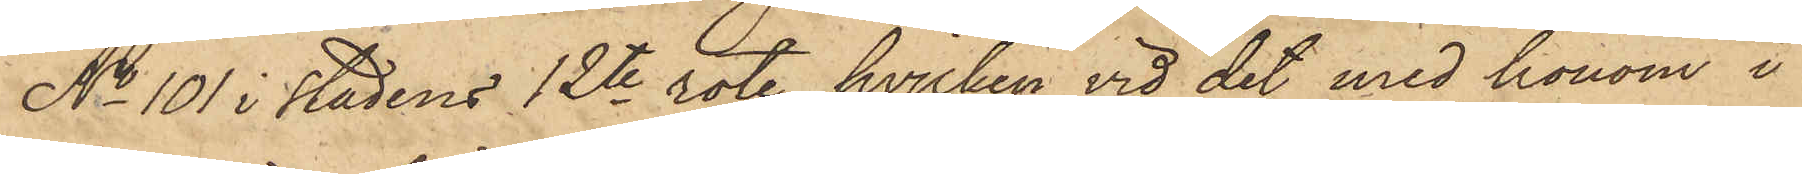No 101 i stadens 12te rote, hvilken vid det med honom i
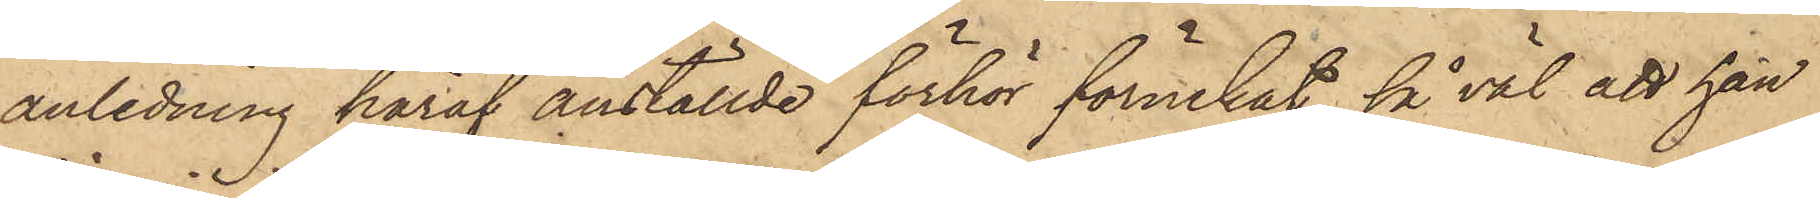anledning häraf anställde förhör förnekat så väl att han
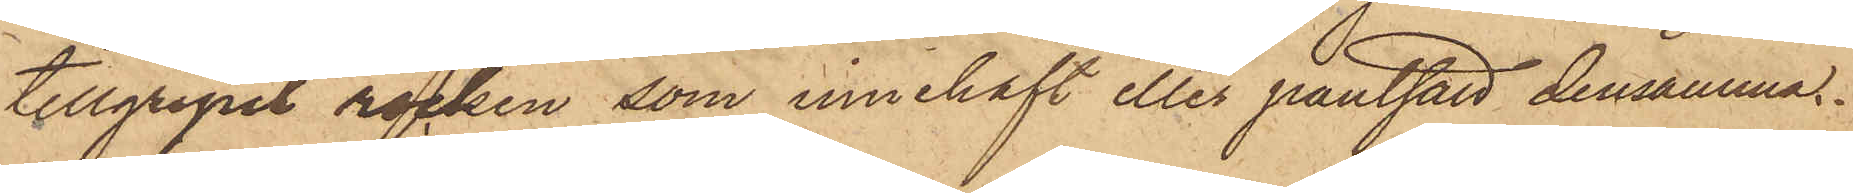tillgripit rocken som innehaft eller pantsatt densamma.
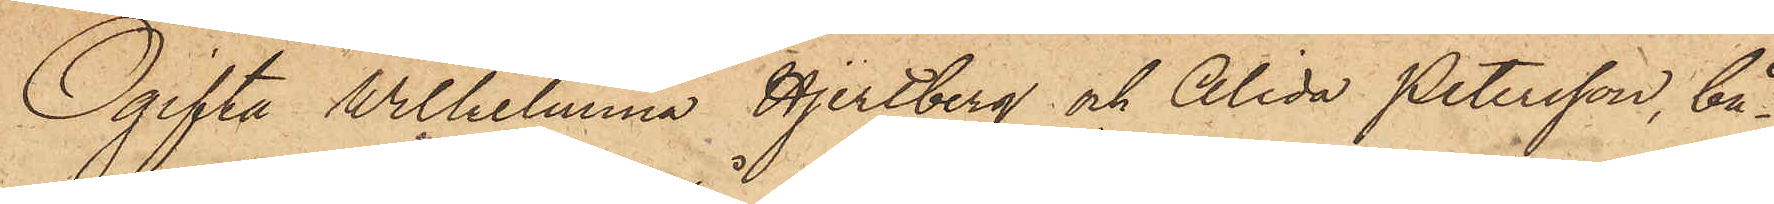Ogifta Wilhelmina Hjertberg och Alida Petersson, bå¬
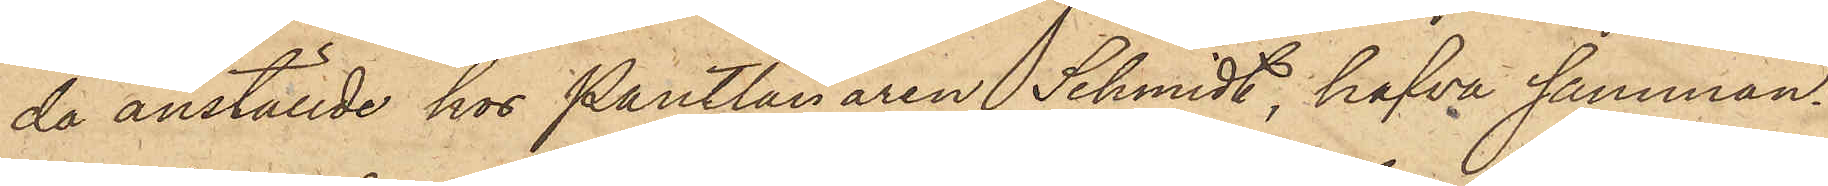da anställde hos Pantlånaren Schmidt, hafva samman¬
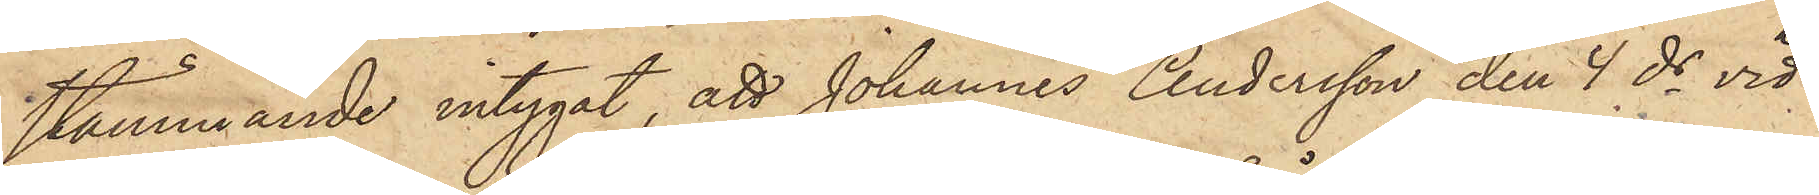stämmande intygat, att Johannes Andersson den 4 ds vid
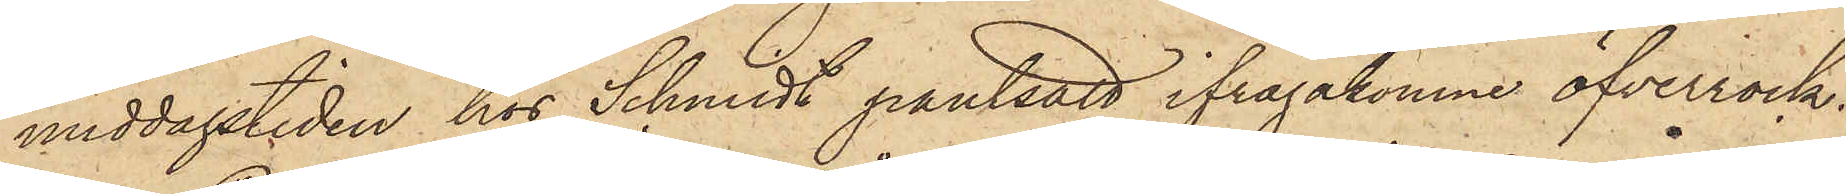middagstiden hos Schmidt pantsatt ifrågakomne öfverrock.
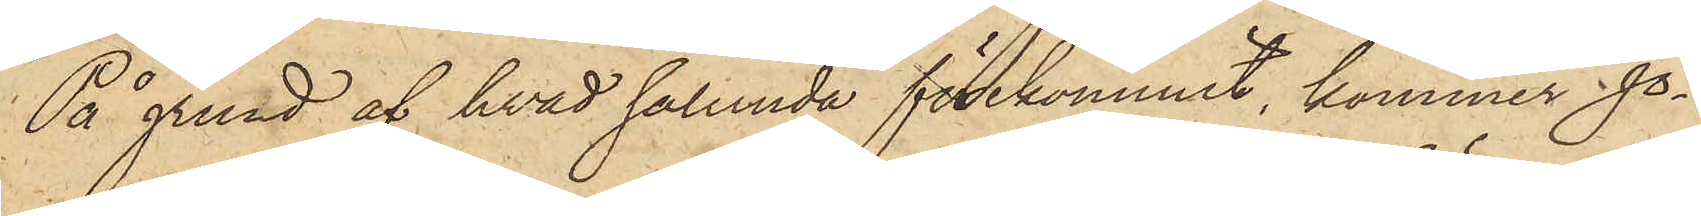På grund af hvad sålunda förekommit, kommer Jo¬
